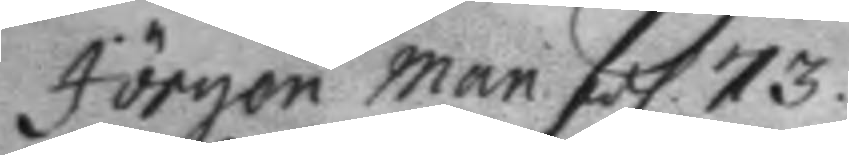Jörgen Man fol 73.
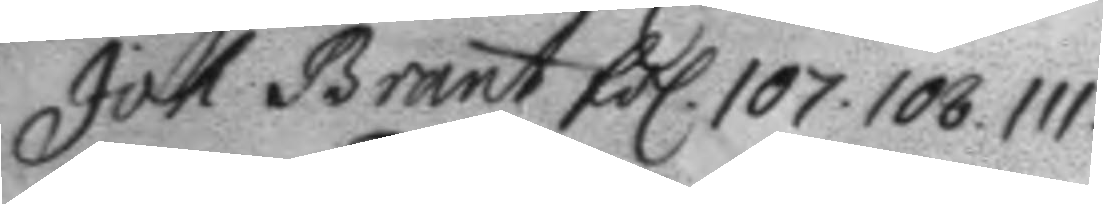Joh. Brant fol. 107. 108. 111.
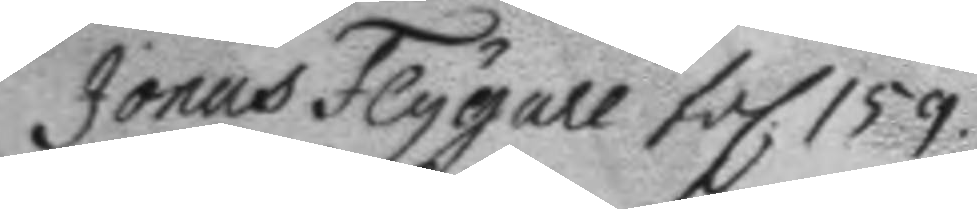Jonas Flygell fol 159.
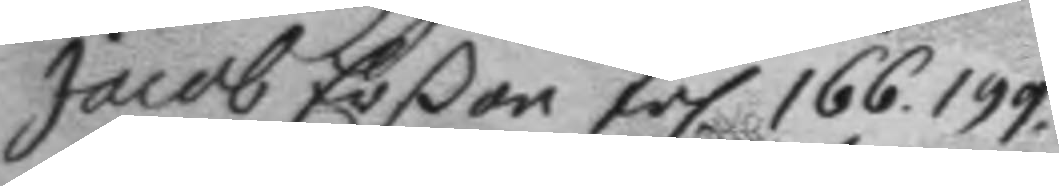Jacob Erßon fol 166. 199
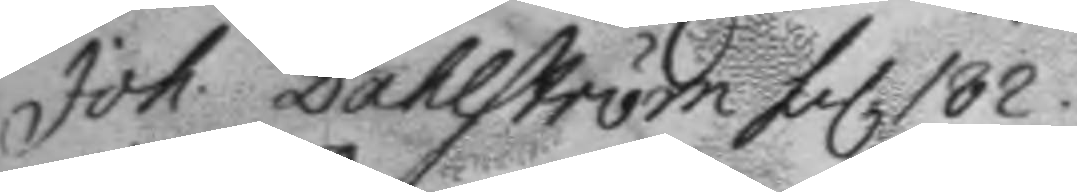Joh. Dahlström fol. 182.
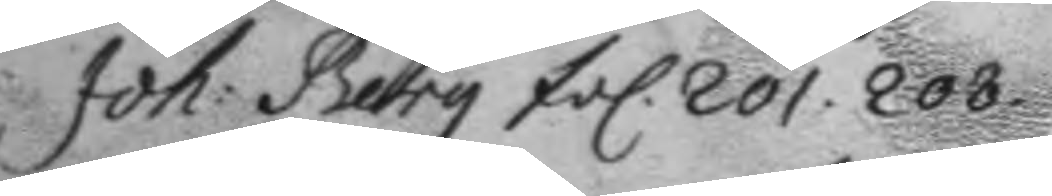Joh: Berg fol. 201. 208.
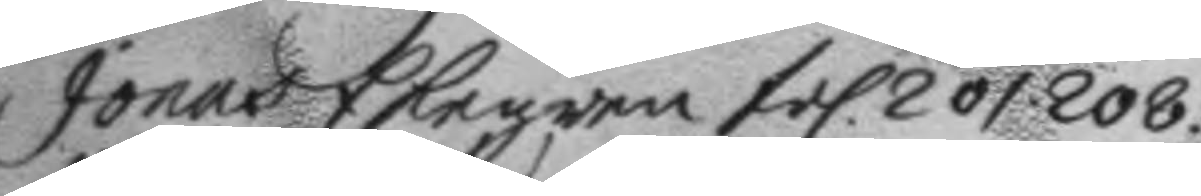Jonas Ekegren fol. 201. 208.
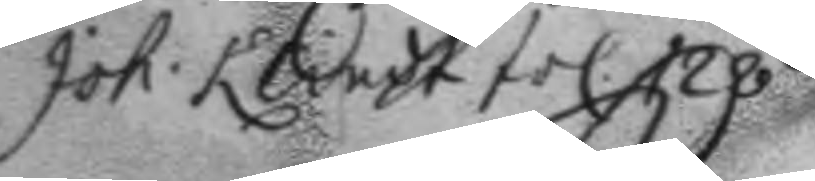Joh: Klindt fol 128.
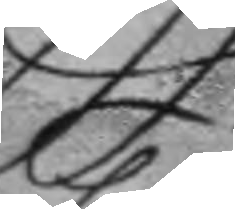K:
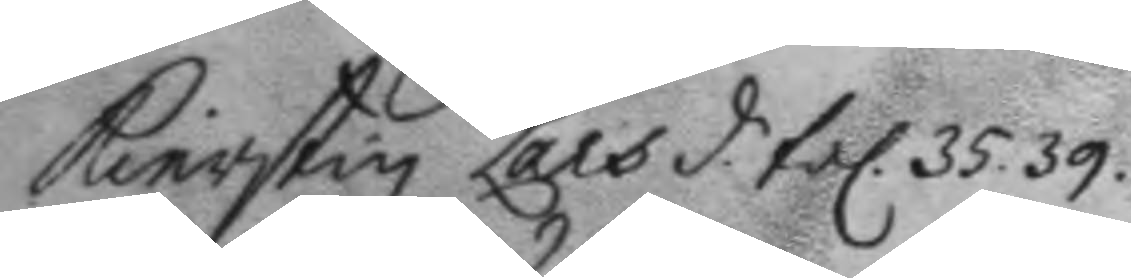Kierstin Lars d. fol. 35. 39.
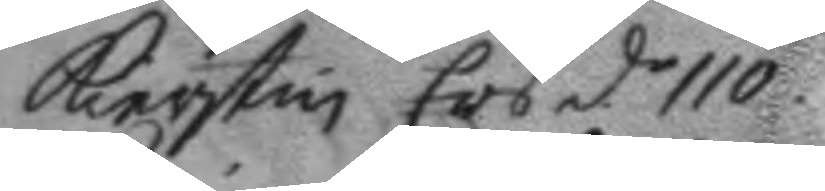Kierstin Ers d.r 110.
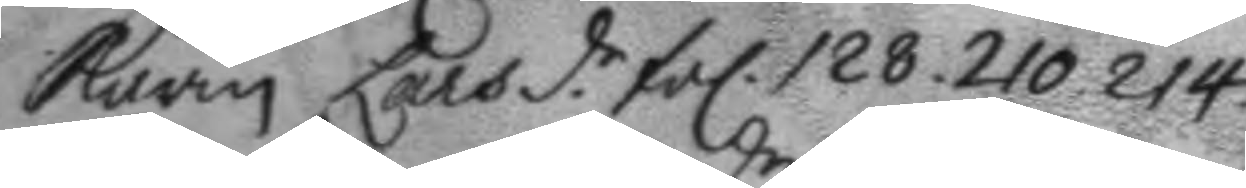Karin Lars d.r fol. 128. 210. 214.
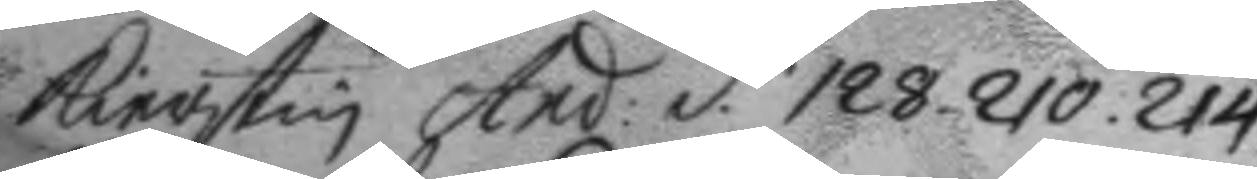Kierstin And: d.r 128. 210. 214.
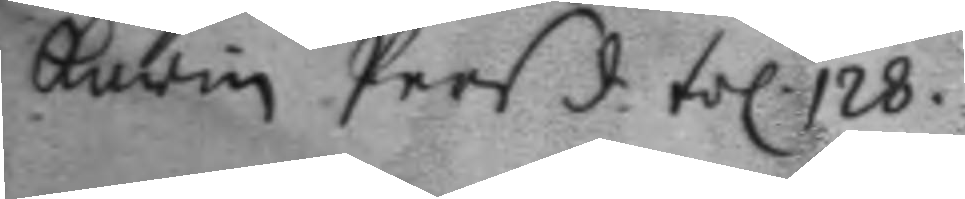Karin Pers d. fol 128.
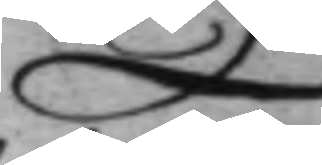L:
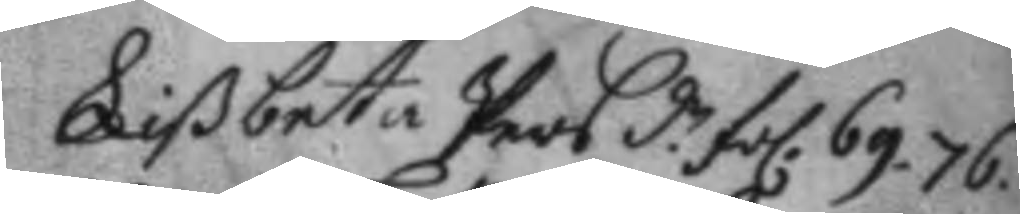Lißbeta Pers d.r fol. 69. 76.
